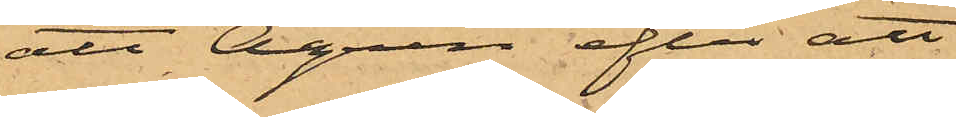att Ågren efter att
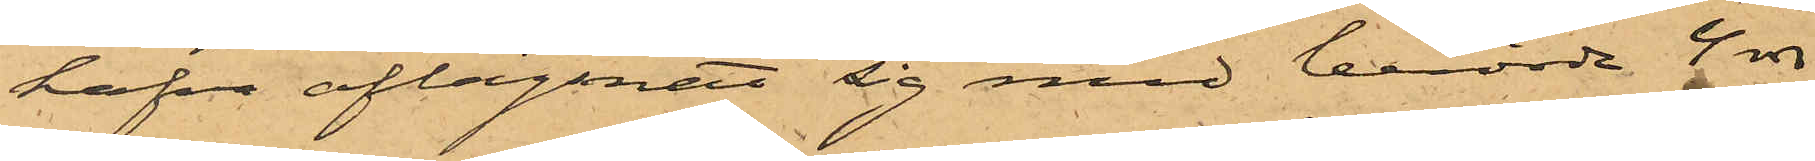hafva aflägsnat sig med berörde 4 rdr
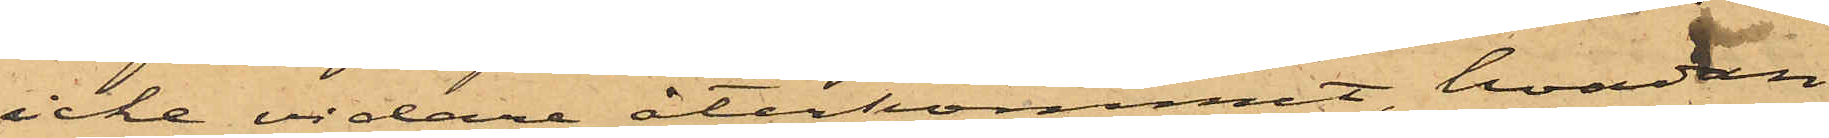icke vidare återkommit, hvadan
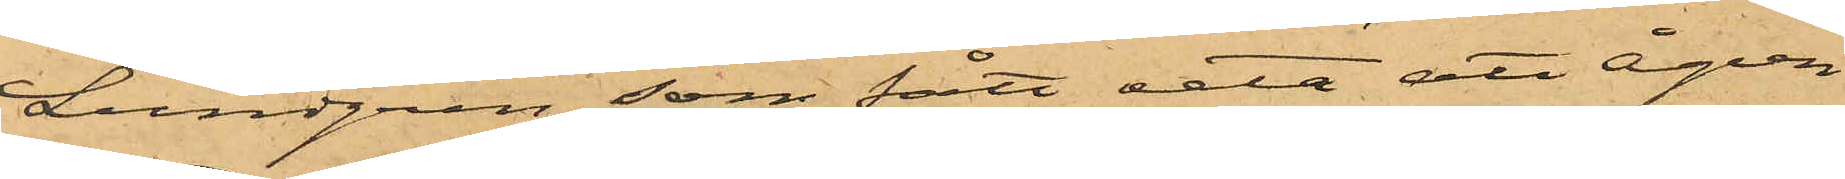Lundgren, som fått veta att Ågren
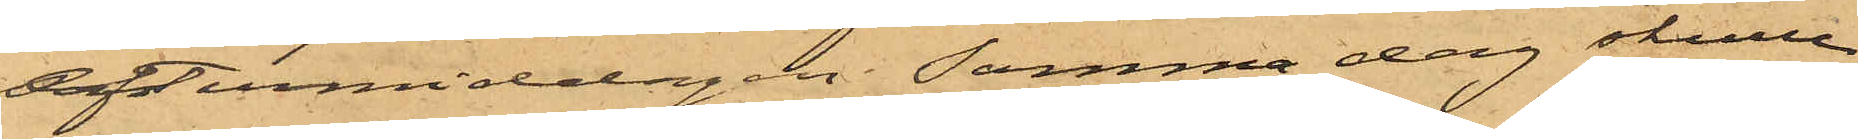eftermiddagen samma dag skulle
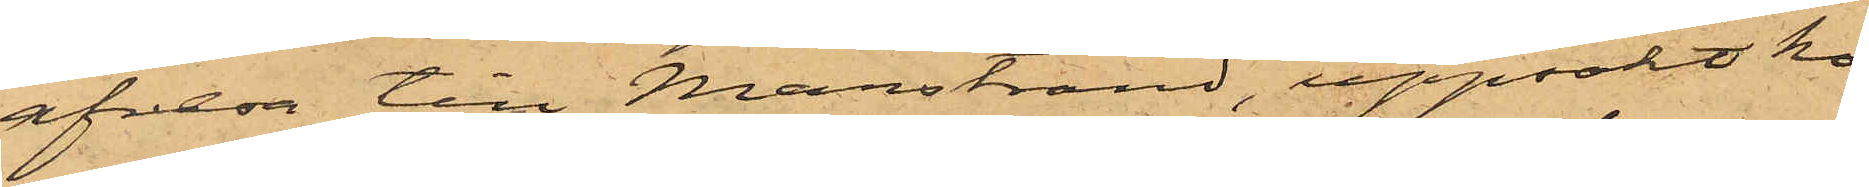afresa till Marstrand, uppsökt ho¬
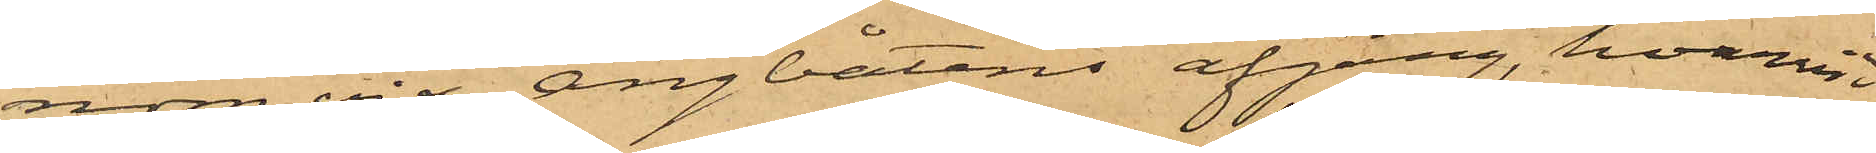nom vid Ångbåtens afgång, hvarvid
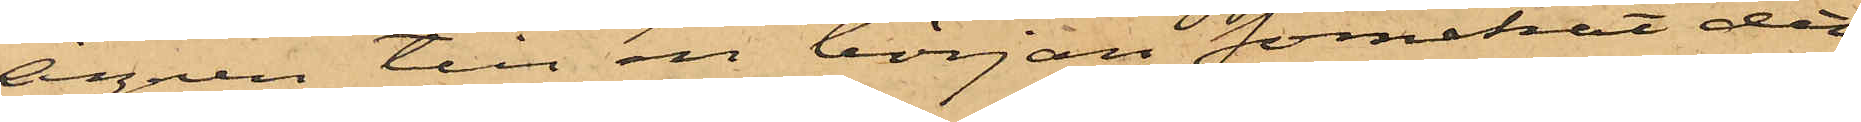Ågren till en början förnekat det
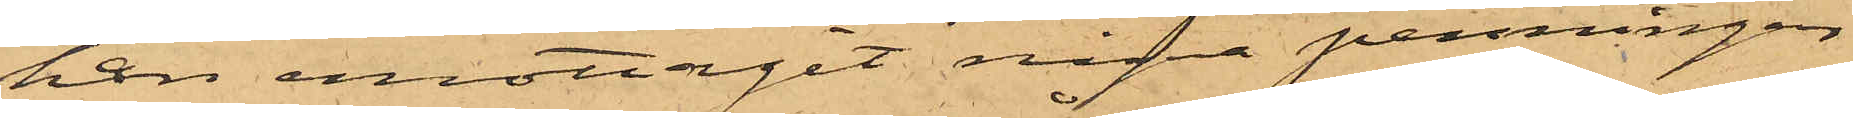han emottagit några penningar
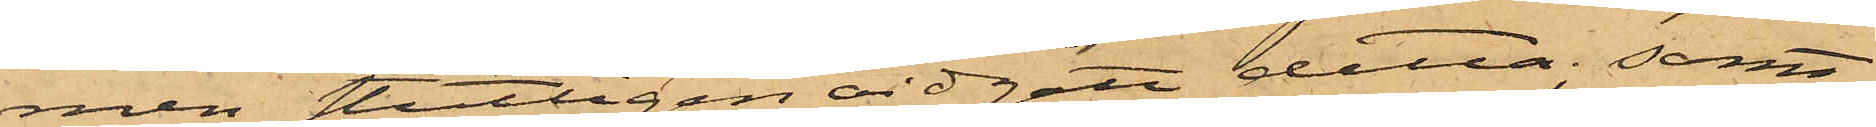men slutligen vidgått detta; samt
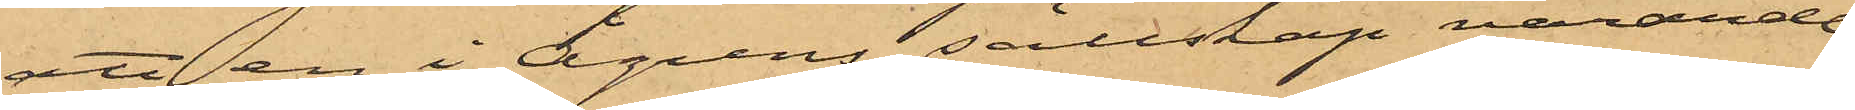att en i Ågrens sällskap varande
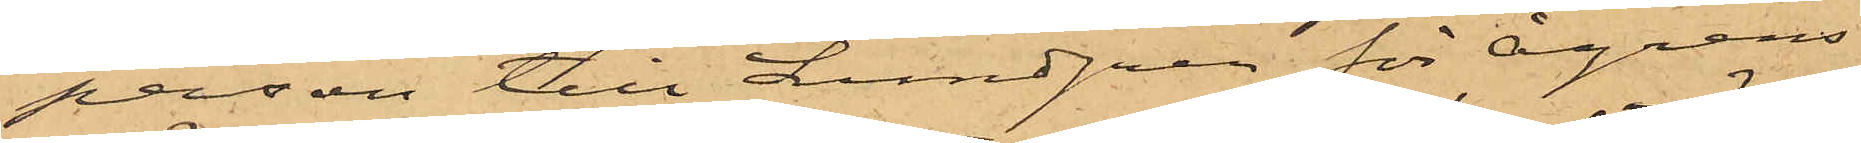person till Lundgren för Ågrens
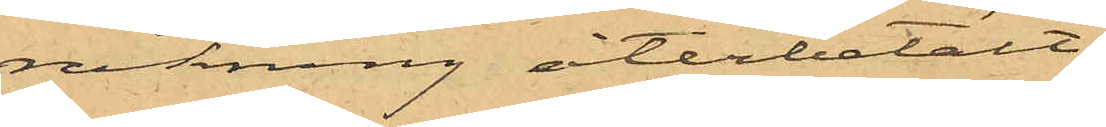räkning återbetalt
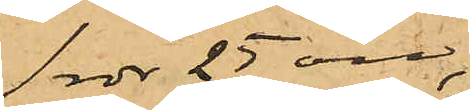1 rdr 25 öre,
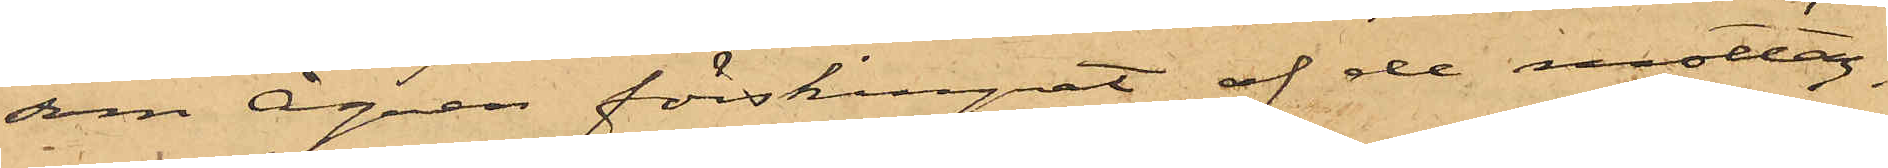som Ågren förskingrat af de mottag¬
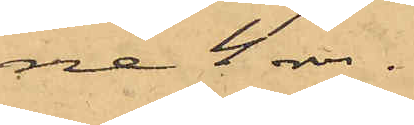ne 4 rdr.
